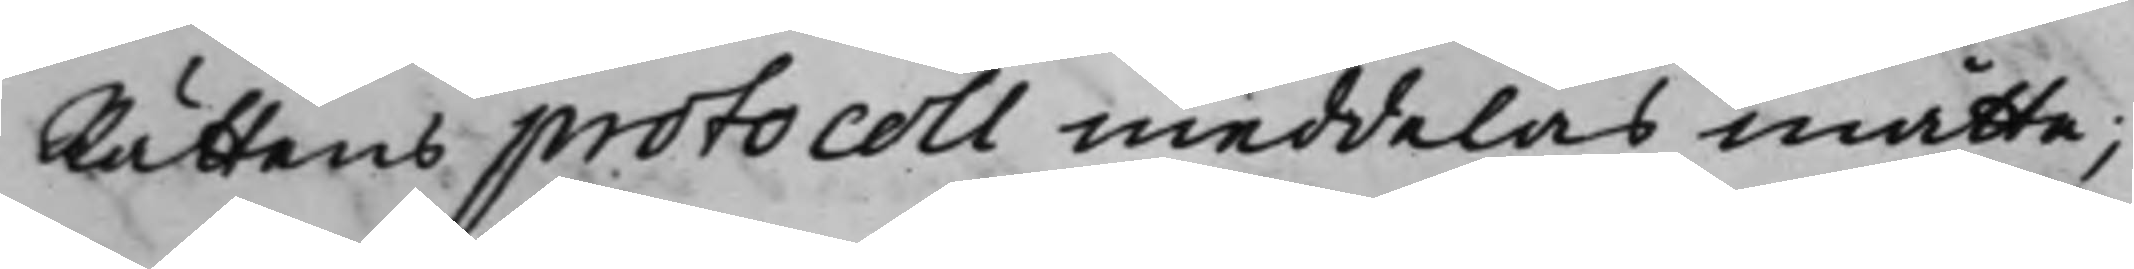Rättens protocoll meddelas måtte;
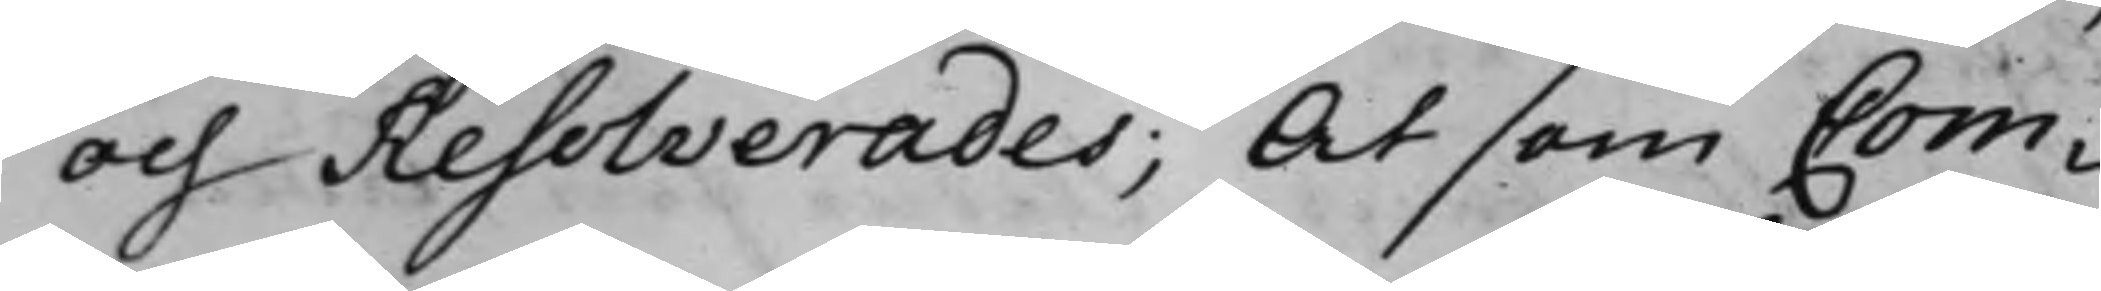och Resolverades; At som Com¬
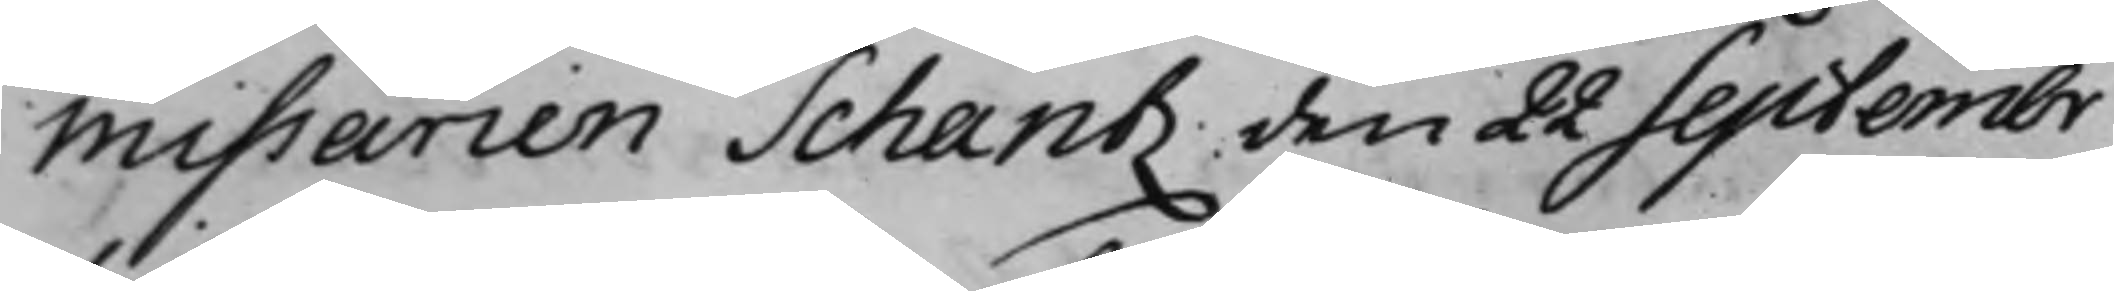missarien Schantz den 22 Septembr
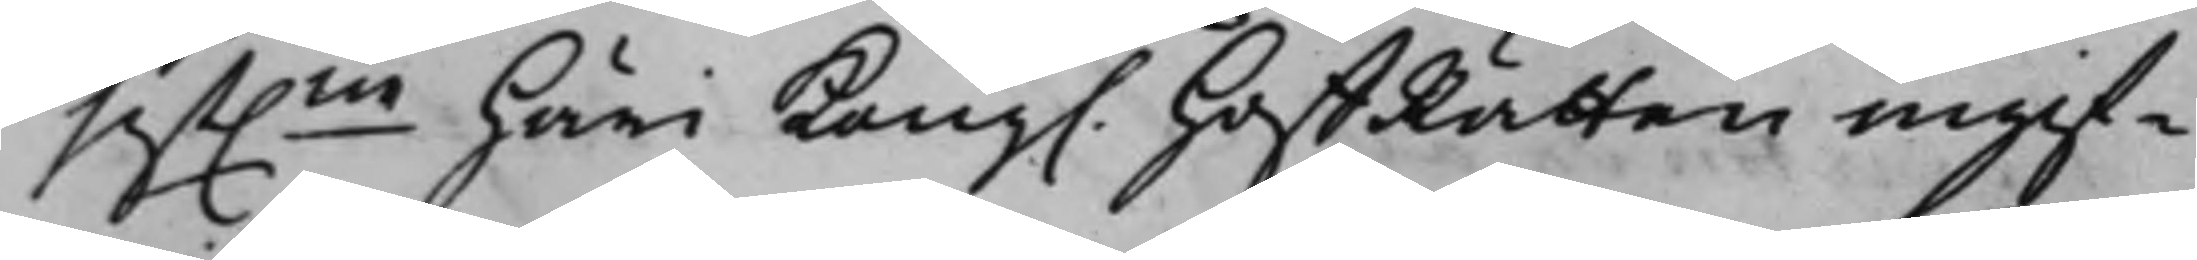sist.ne Häri Kong. HoffRätten ingif¬
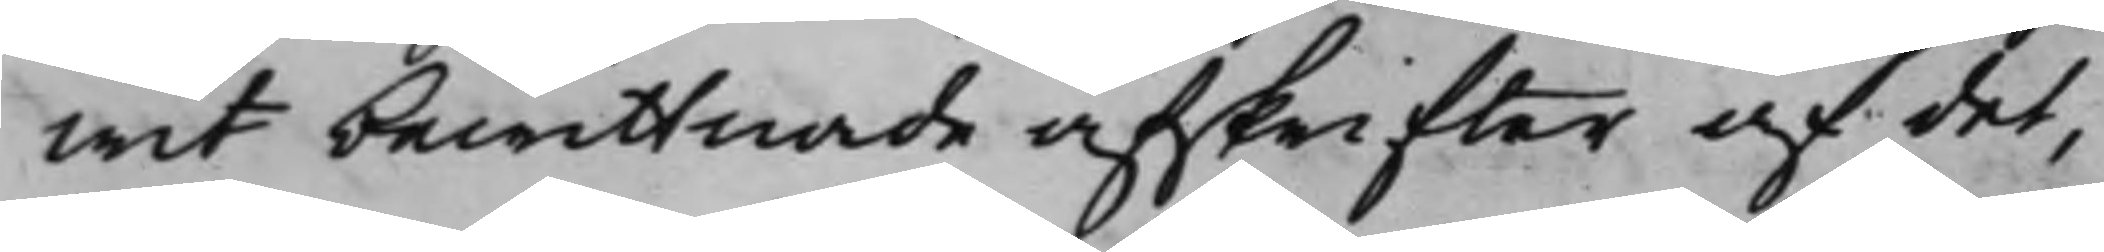wit bewittnade afskrifter af det,
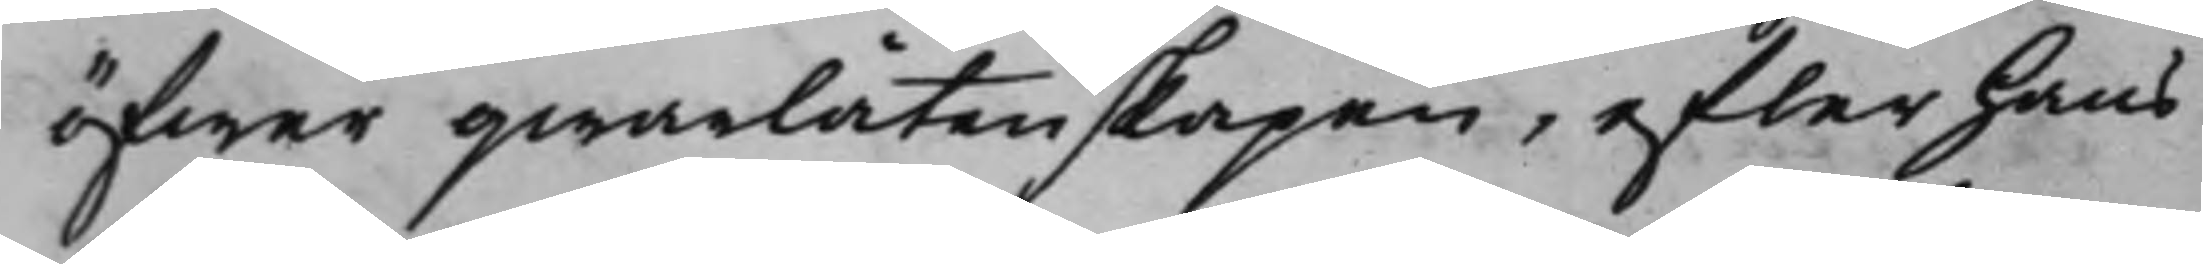öfwer qwarlåtenskapen, efter Hans
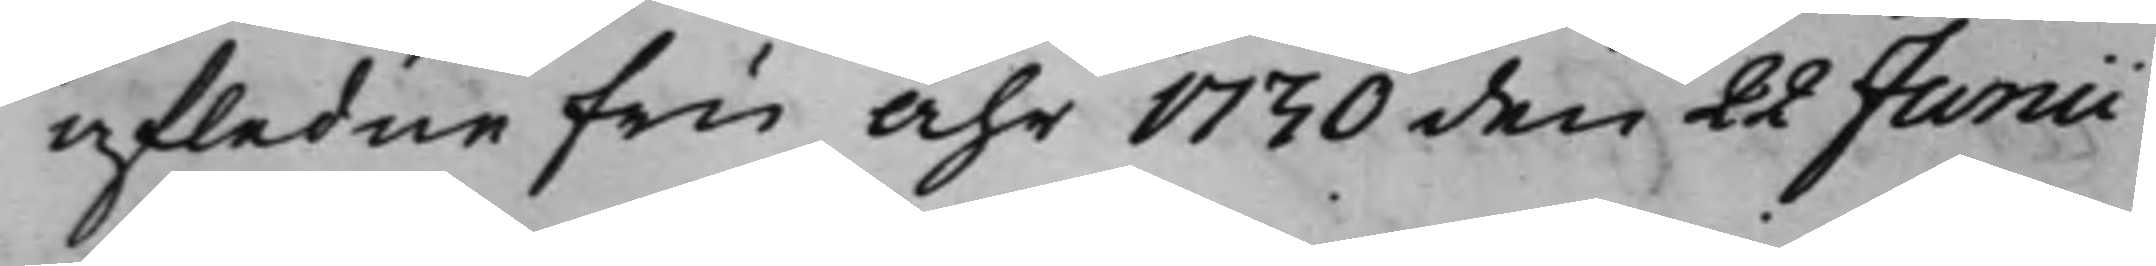afledne Fru Åhr 1730 den 22 Junii
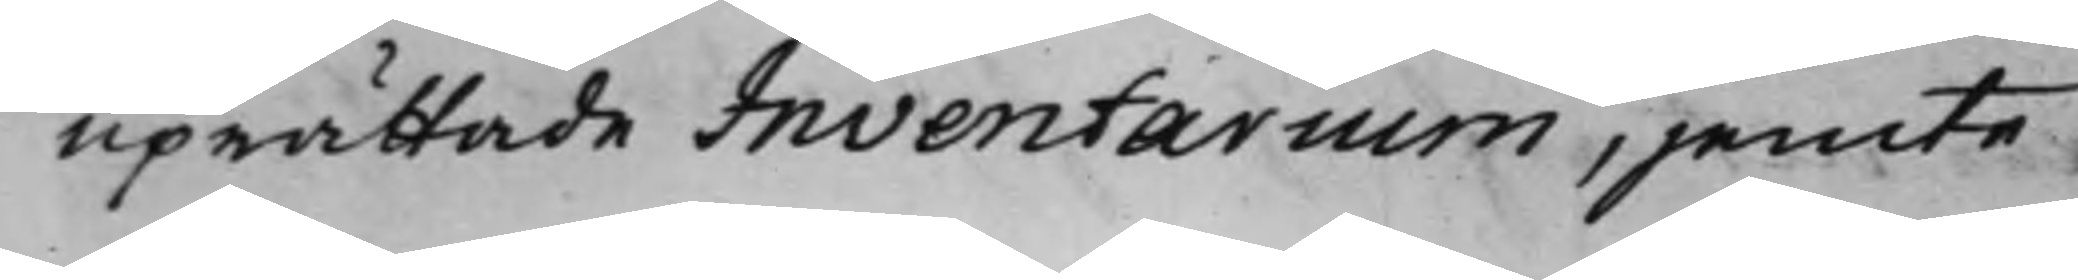uprättade Inventarium, jemte
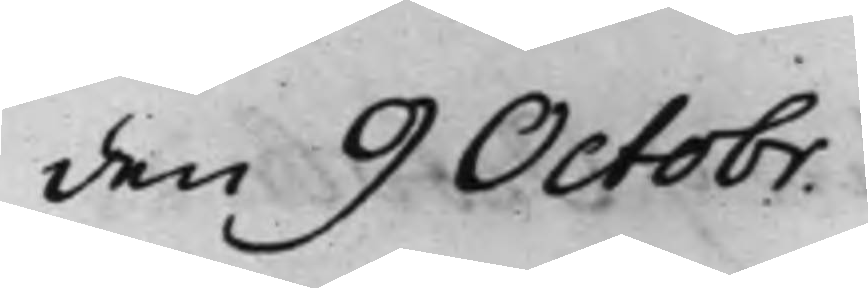den 9 Octobr.
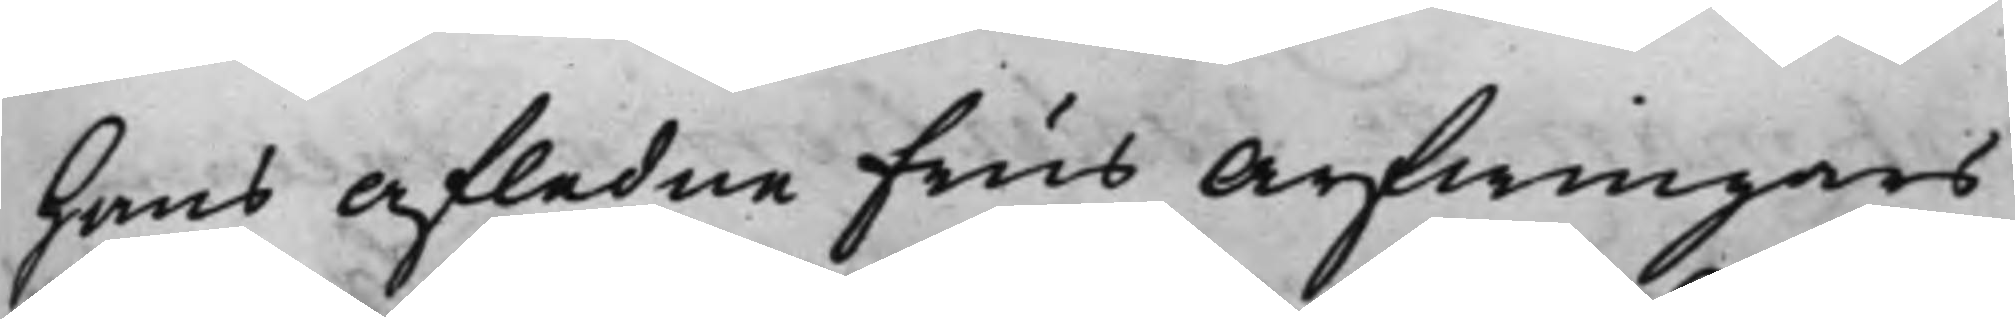hans Afledne Frus Arfwingars
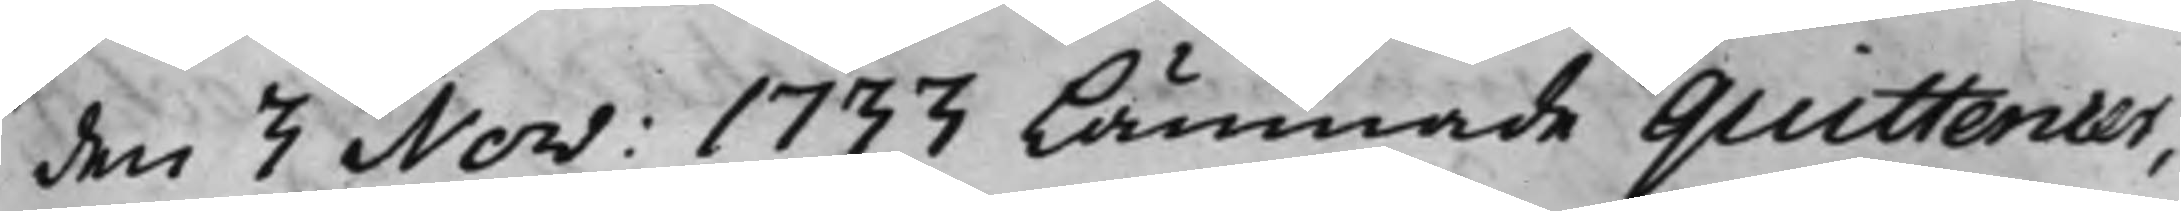den 3 Nov: 1733 lämnade quittencer,
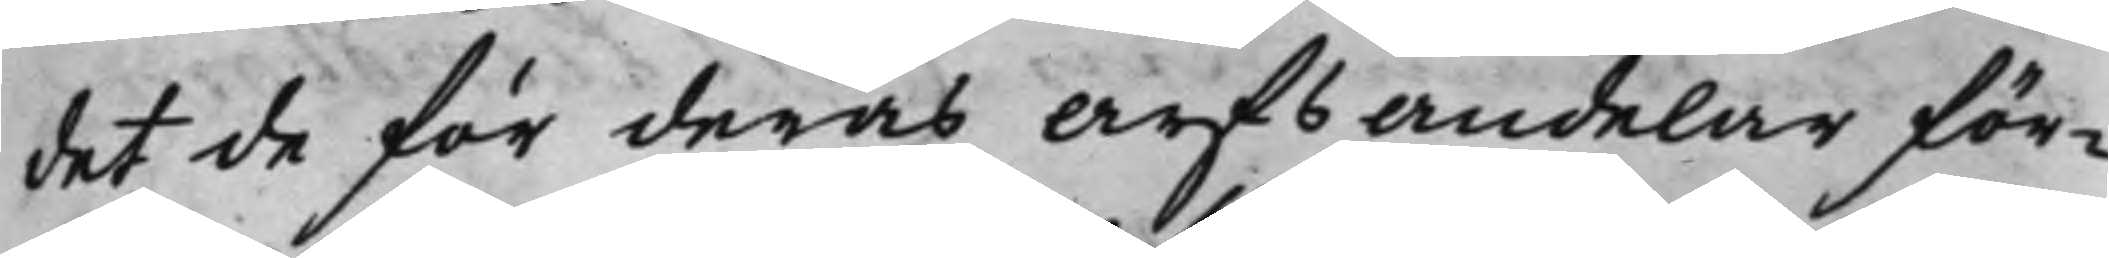det de för deras Arfsandelar för¬
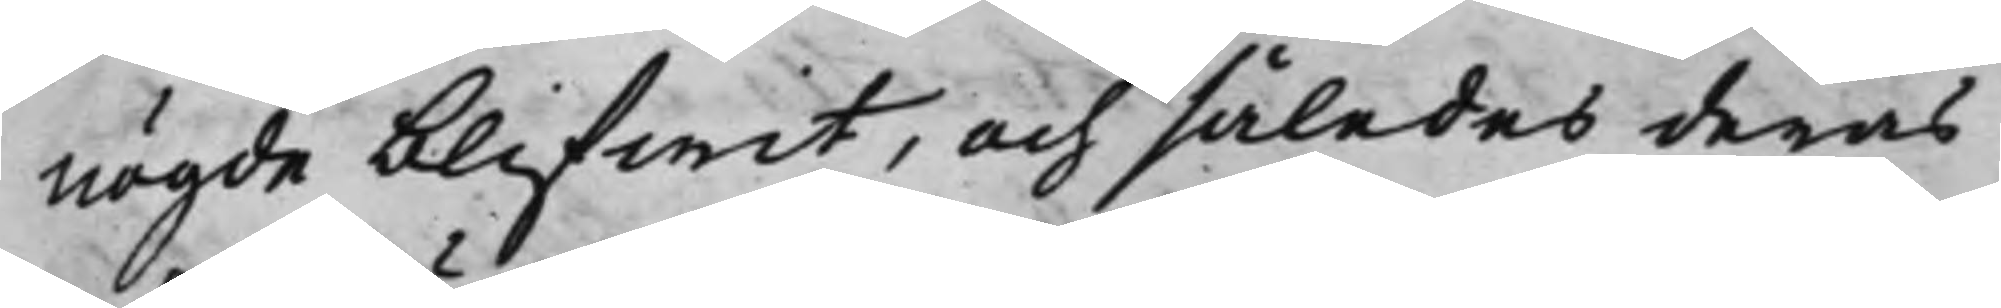nögde blifwit, och således deras
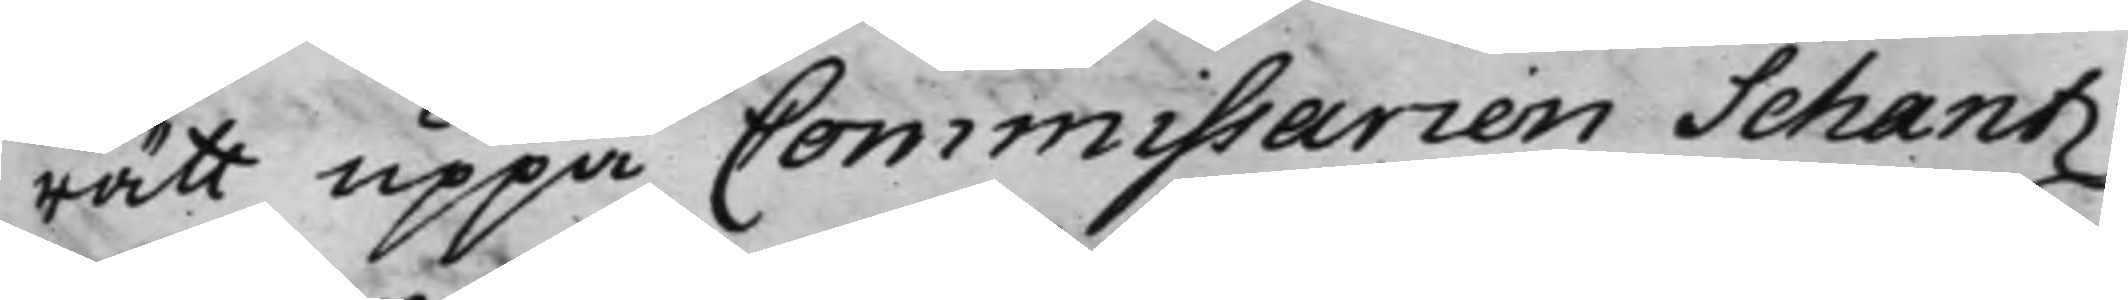rätt uppå Commissarien Schantz
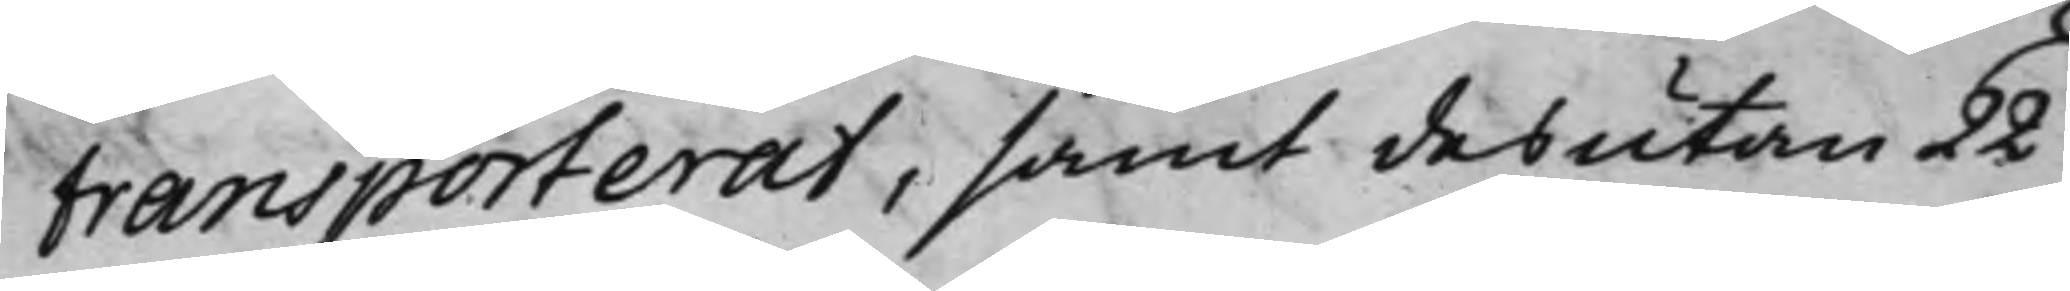transporterat, samt desutan 22
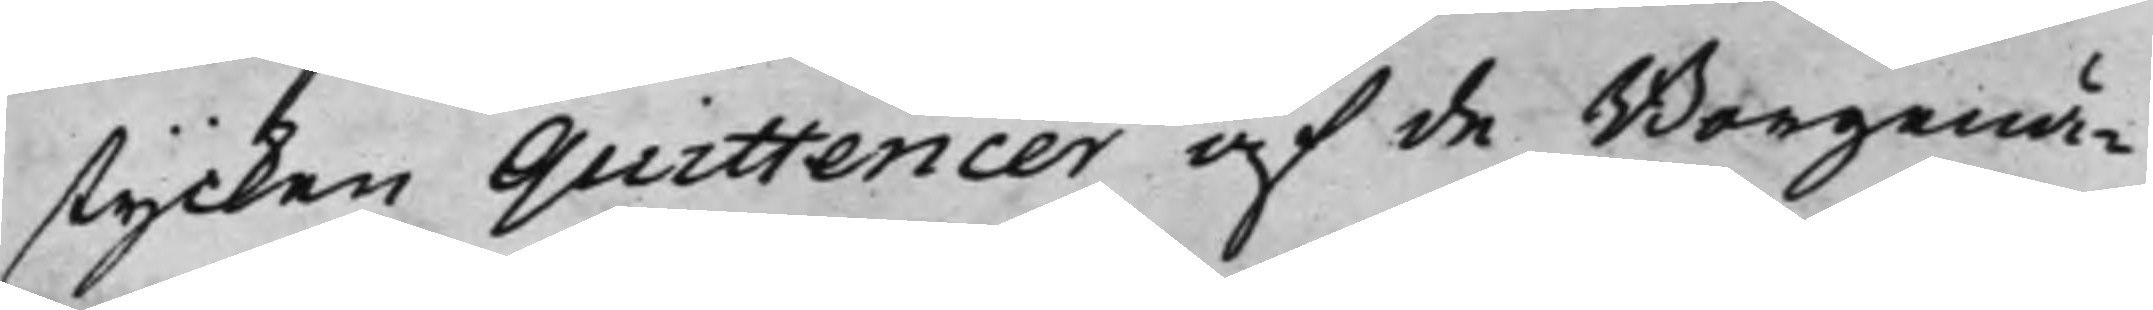stycken Quittencer af de Borgenä¬
